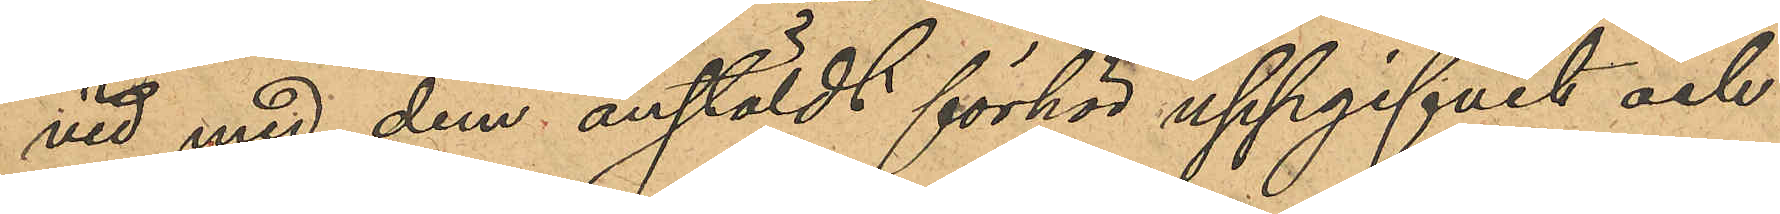vid med dem anstäldt förhör uppgifvit och
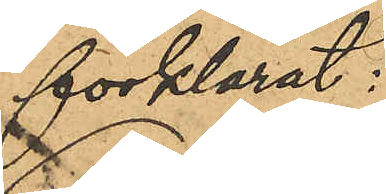förklarat:
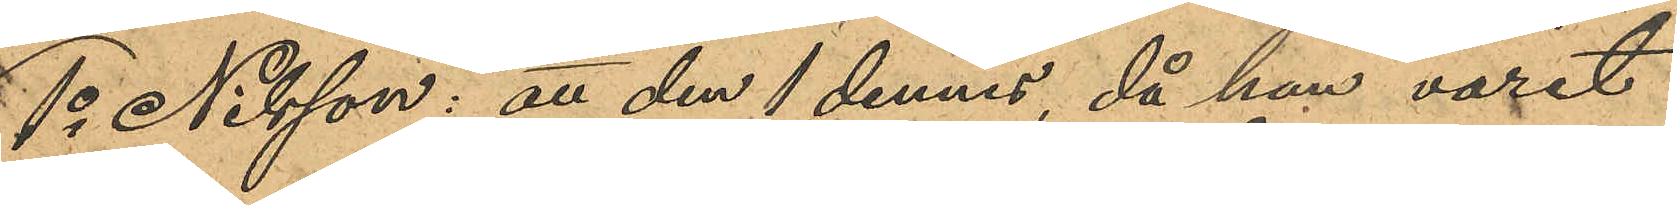1o Nilsson: att den 1 dennes, då han varit
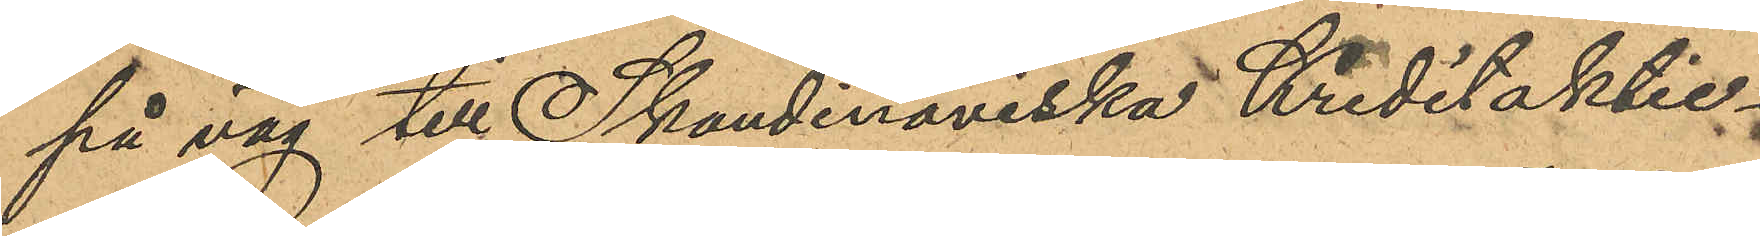på väg till Skandinaviska Kreditaktie¬
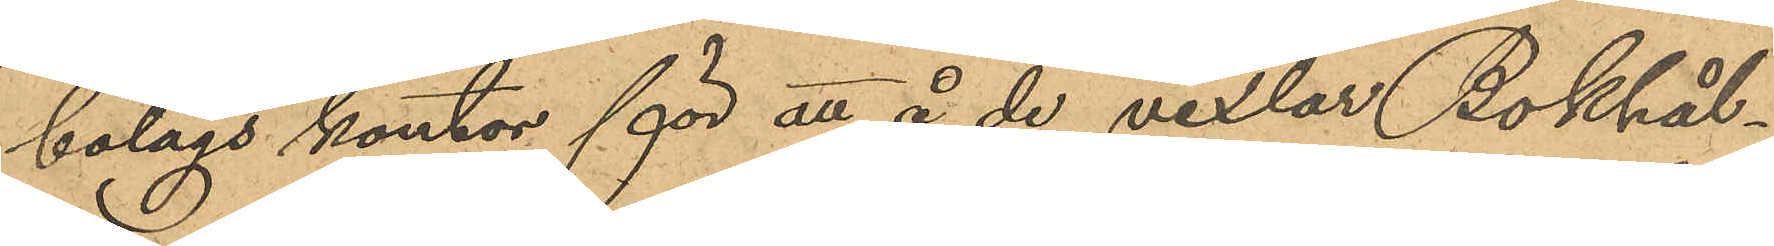bolags kontor för att å de vexlar Bokhål¬
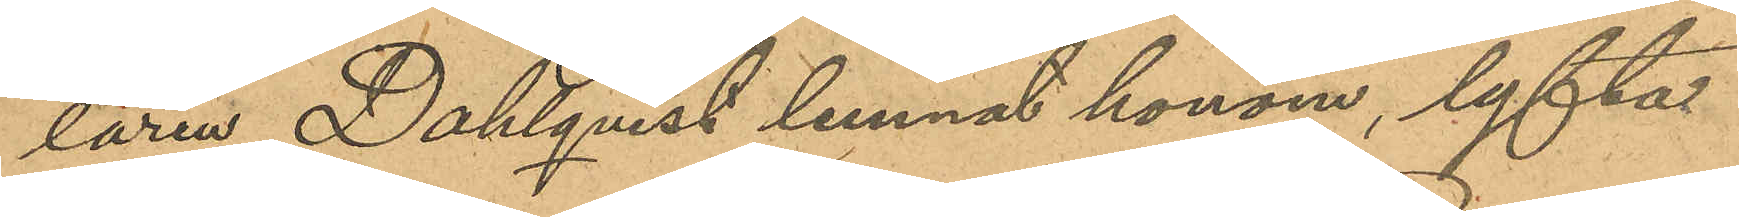laren Dahlqvist lemnat honom, lyfta
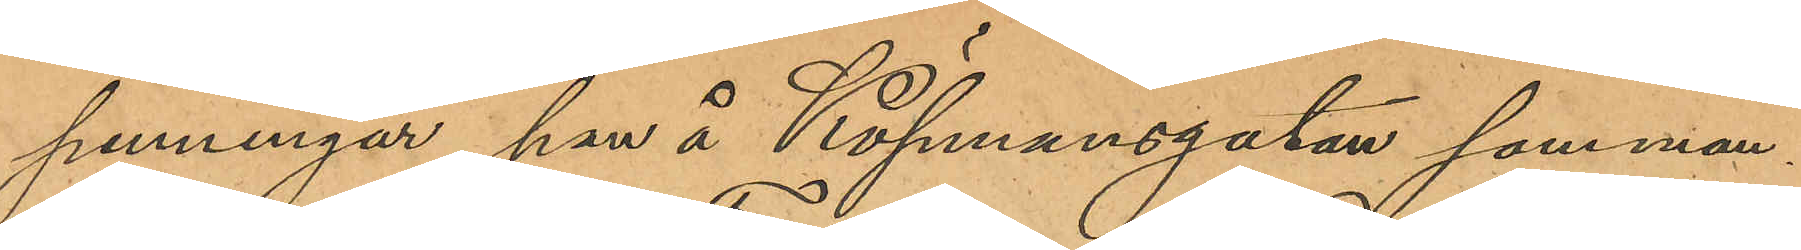penningar, han å Köpmansgatan samman¬
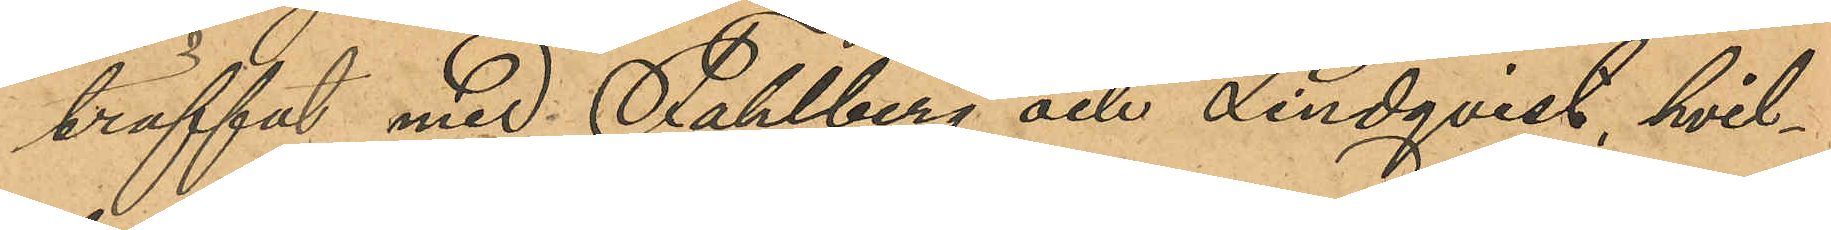träffat med Fahlberg och Lindqvist, hvil¬
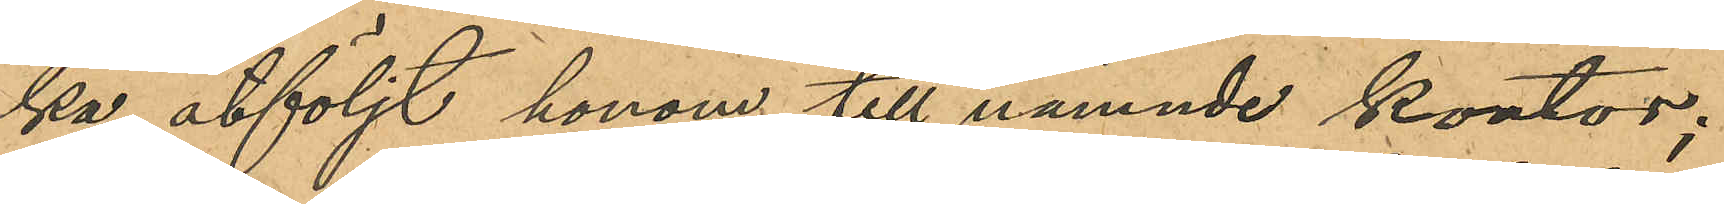ka åtföljt honom till nämnde kontor;
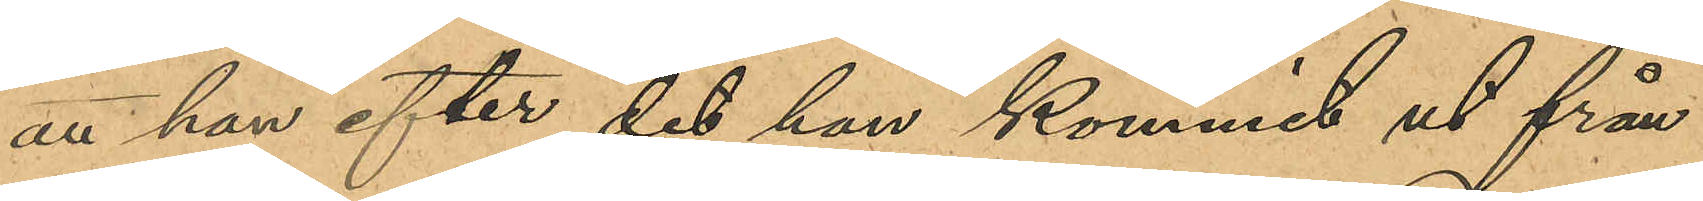att han efter det han kommit ut från
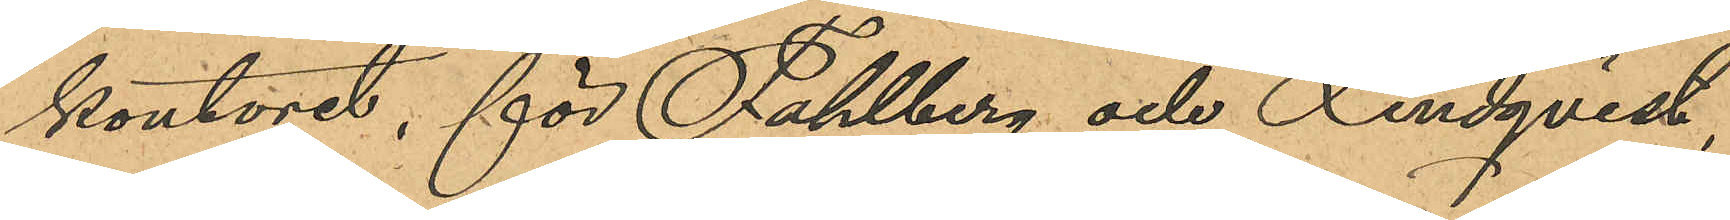kontoret, för Fahlberg och Lindqvist
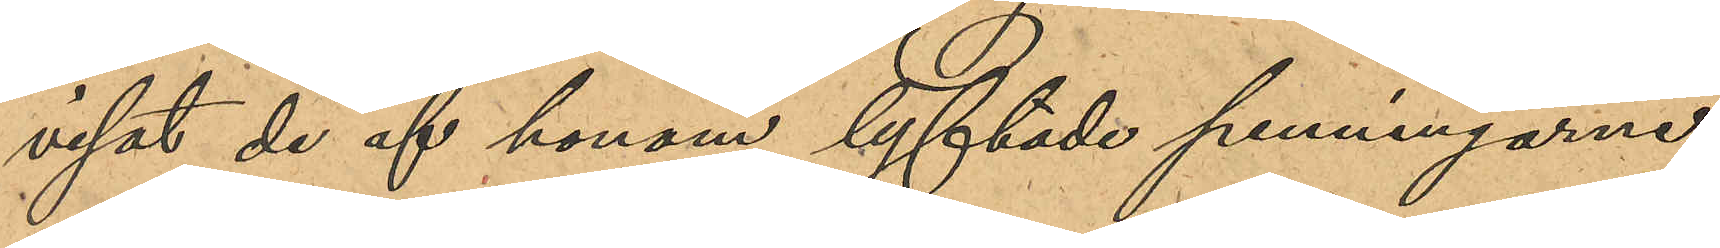visat de af honom lyftade penningarne,
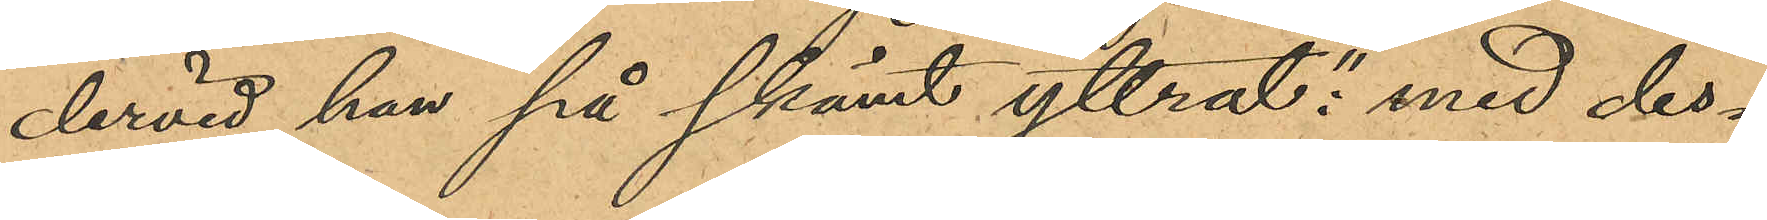dervid han på skämt yttrat: "med des¬
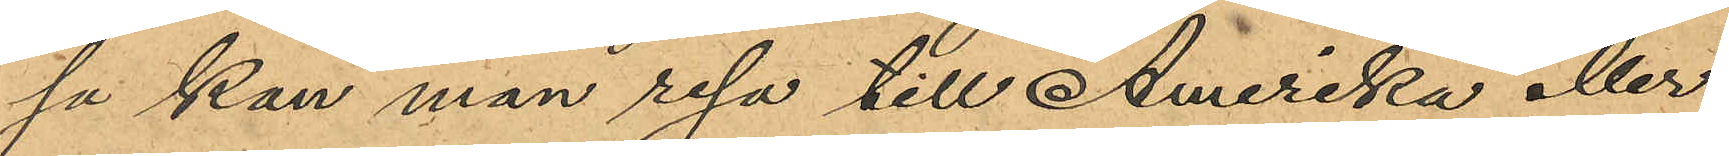sa kan man resa till Amerika eller
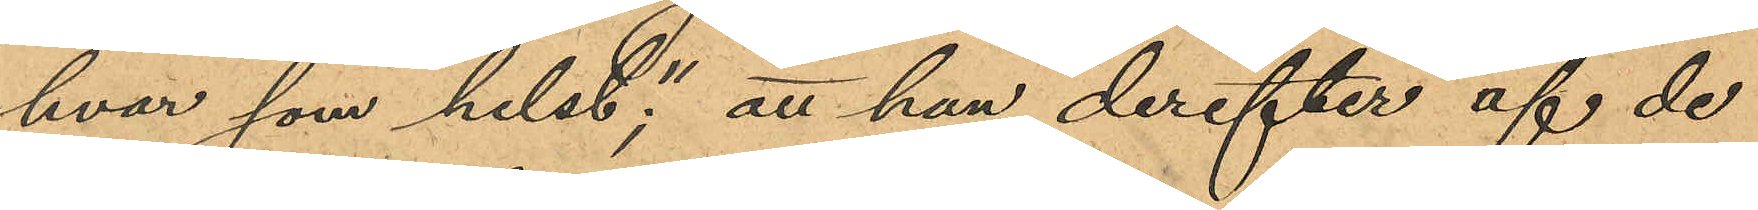hvar som helst"; att han derefter af de
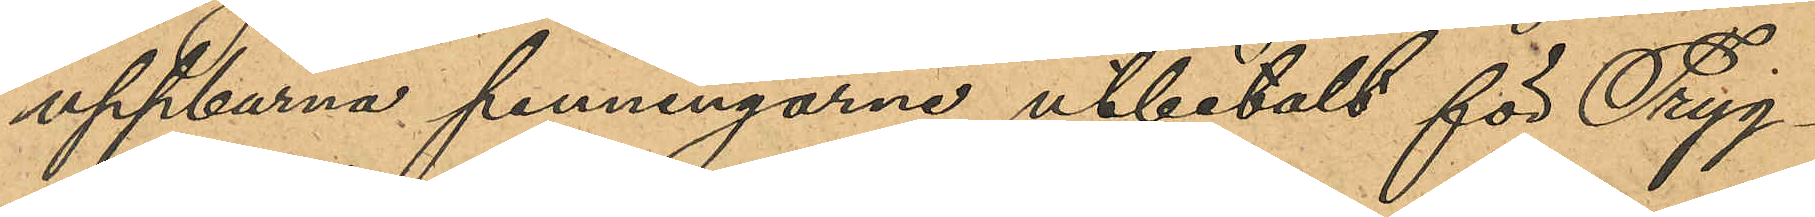uppburna penningarne utbetalt för Tryg¬
